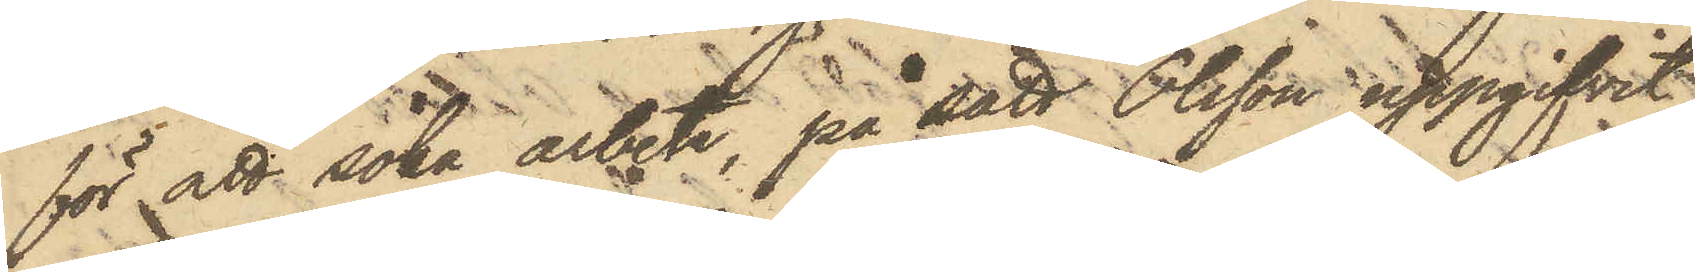för att söka arbete, på sätt Olsson uppgifvit,
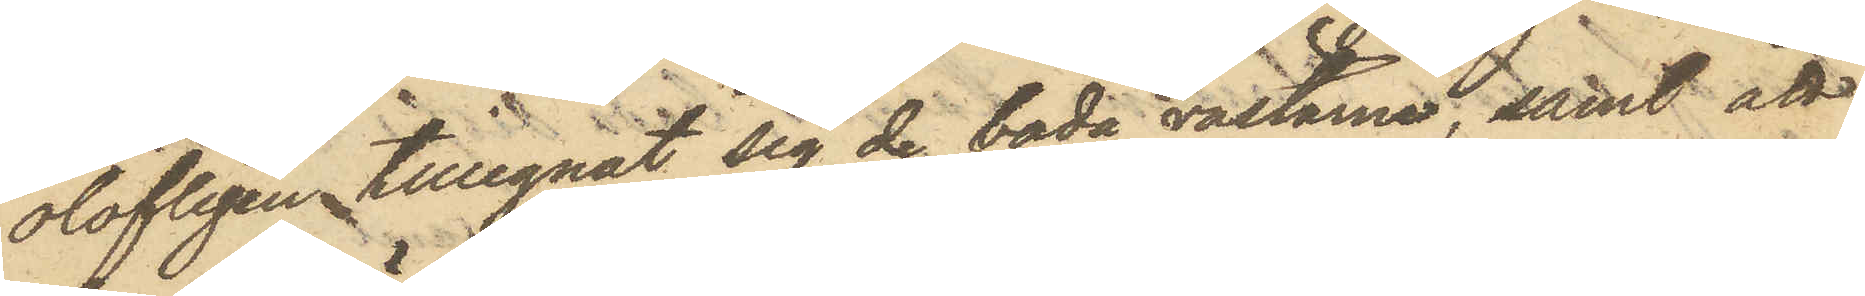olofligen tillegnat sig de båda västane; samt att
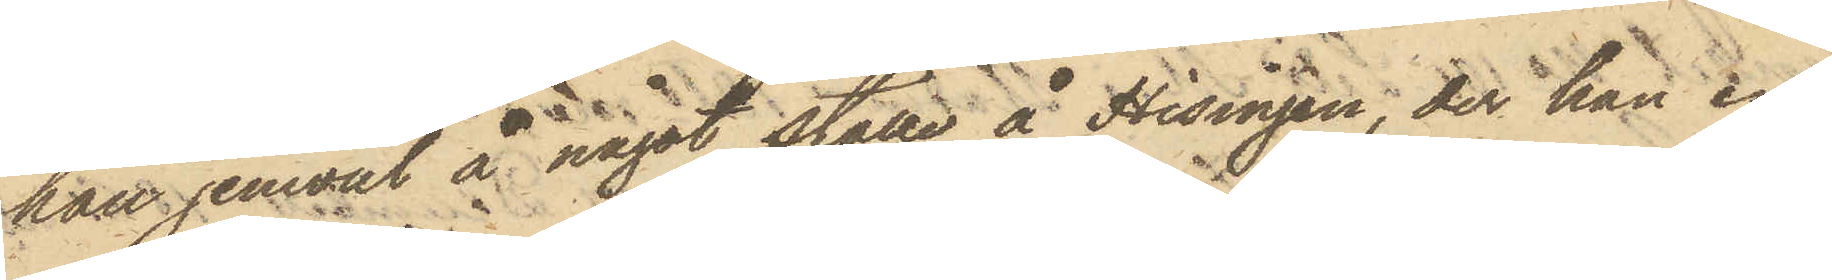han jemväl å något ställe å Hisingen, der han en
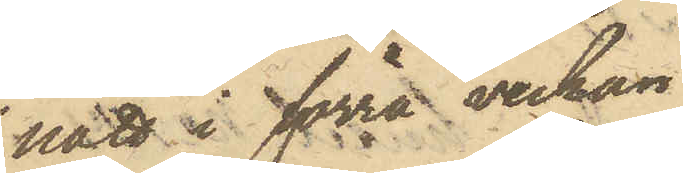natt i förra veckan
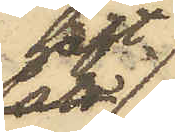haft
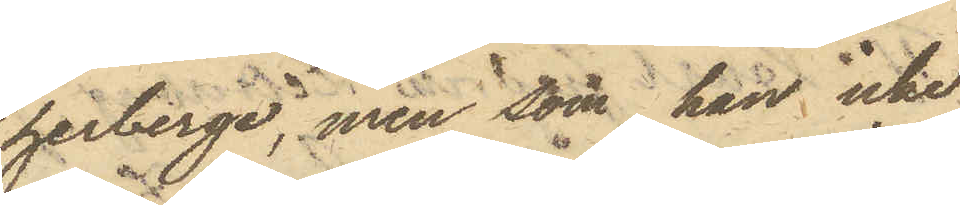herberge, men som han icke
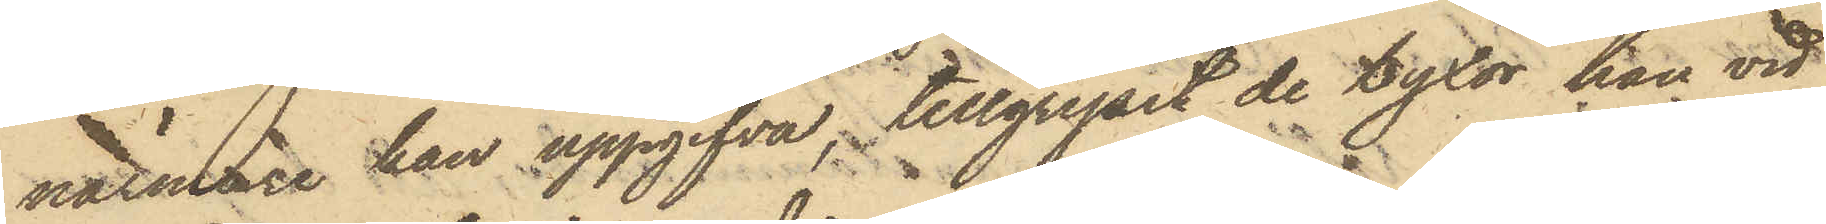närmare han uppgifva, tillgripit de byxor han vid
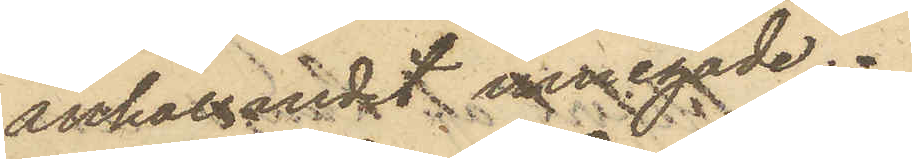anhållandet innehade.
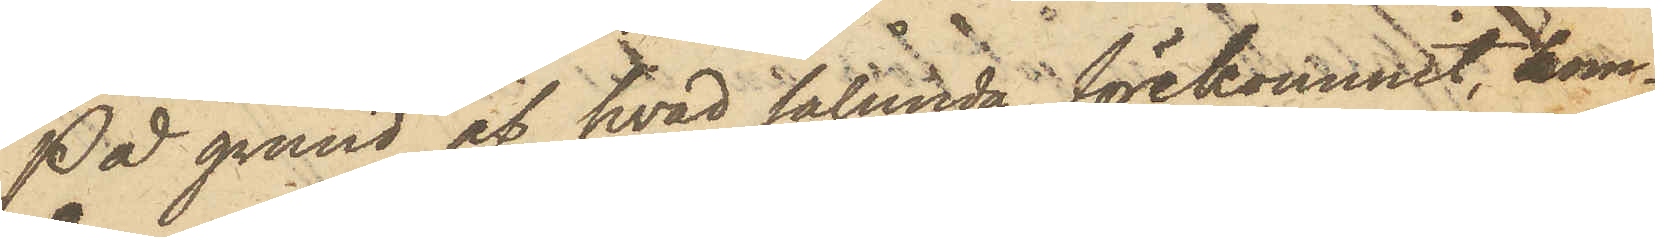På grund af hvad sålunda förekommit kom¬
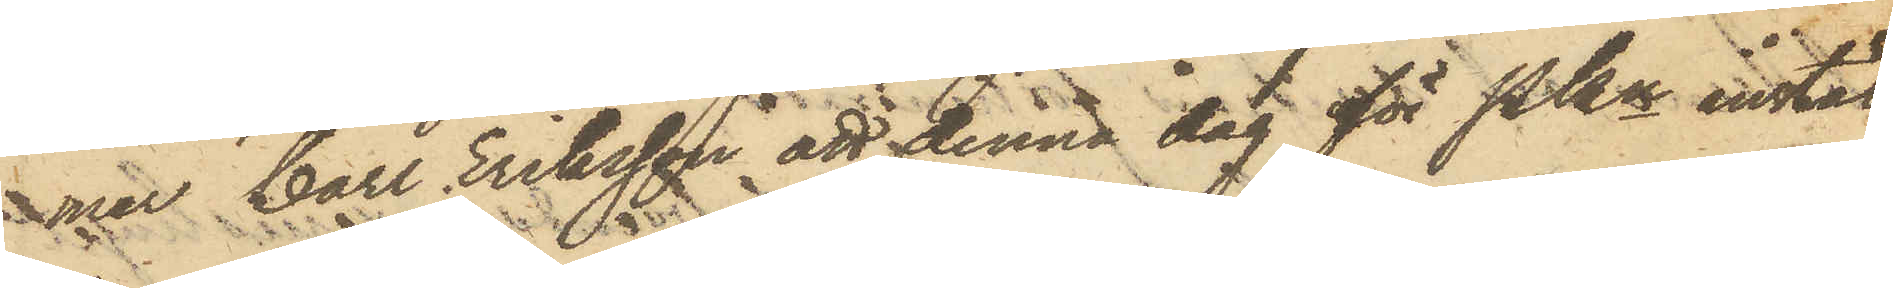mer Carl Eriksson att denna dag för Pkn instäl¬
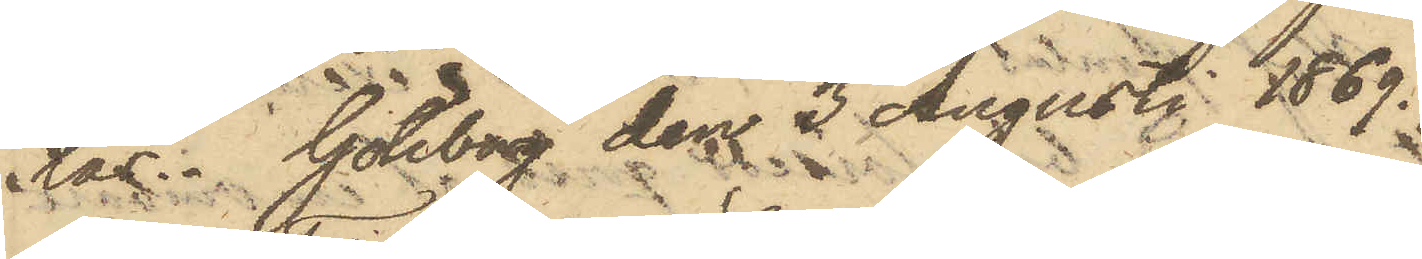las. Göteborg den 3 Augusti 1869.
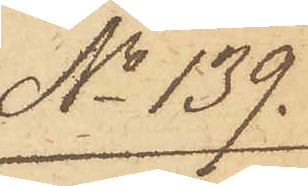No 139.
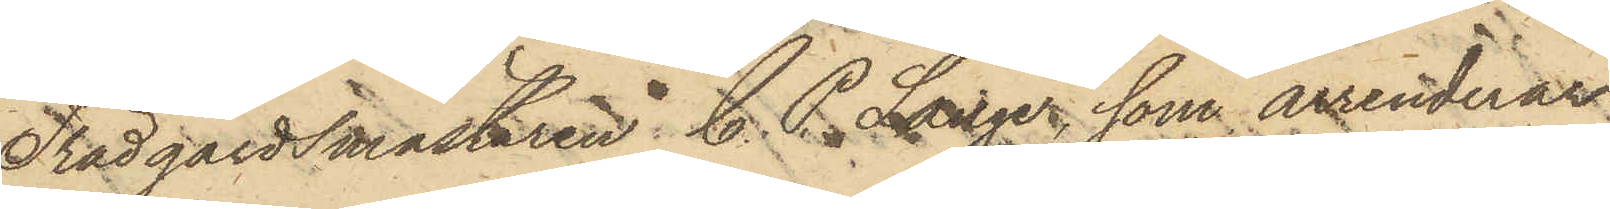Trädgårdsmästaren C. P. Lange, som arrenderar
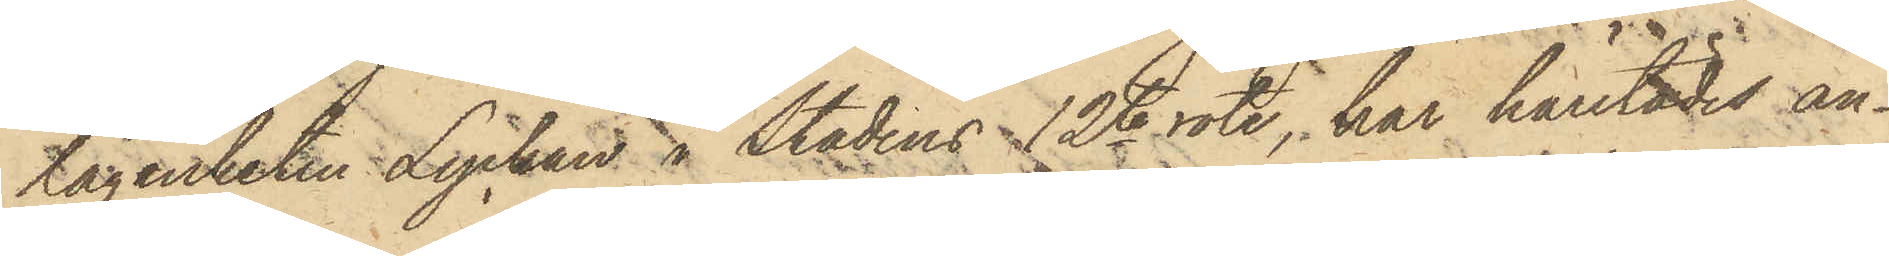lägenheten Lyckan i stadens 12te rote, har härstädes an¬
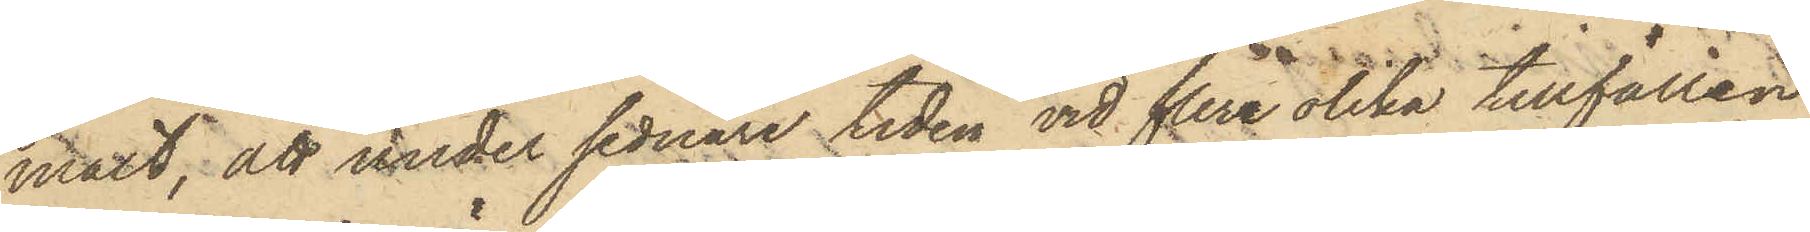mält, att under sednare tiden vid flere olika tillfällen
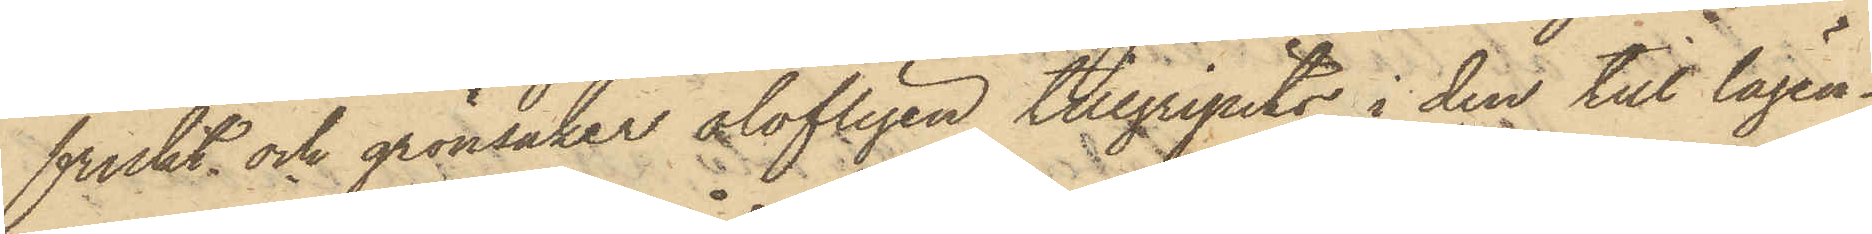frukt och grönsaker olofligen tillgripits i den till lägen¬
